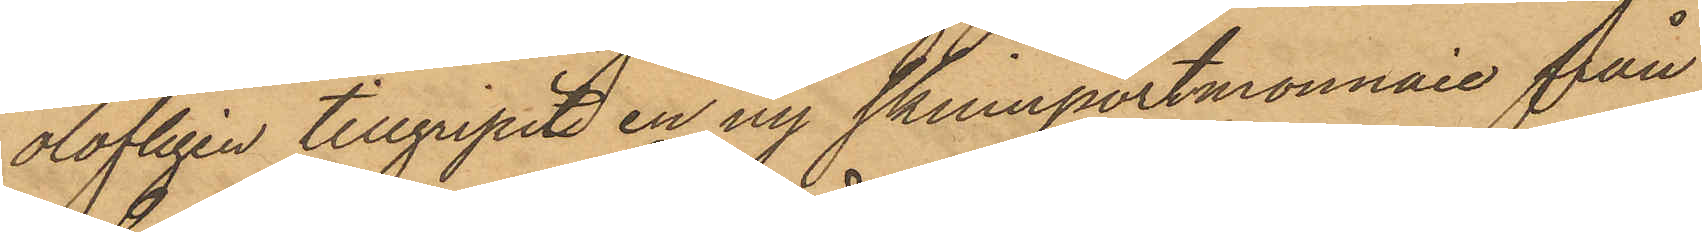olofligen tillgripit en ny skinnportmonnaie från
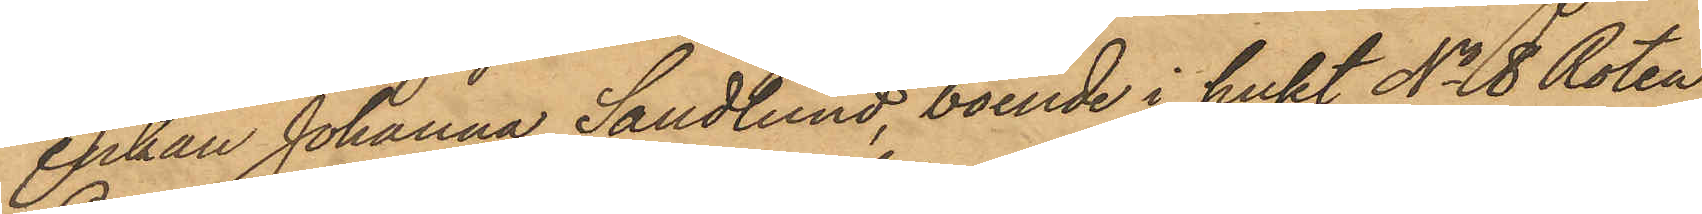enkan Johanna Sandlund, boende i huset No 8 Roten
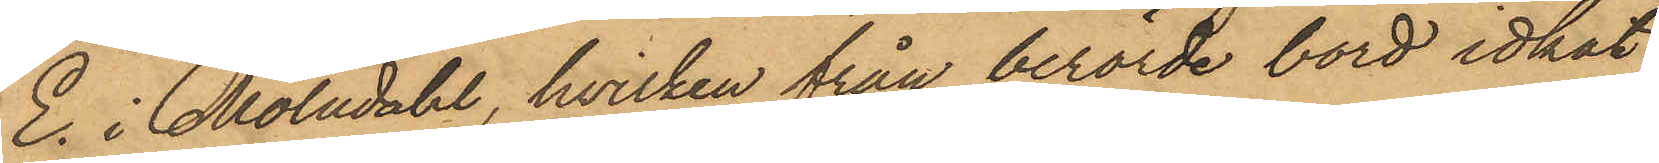E. i Mölndahl, hvilken från berörde bord idkat
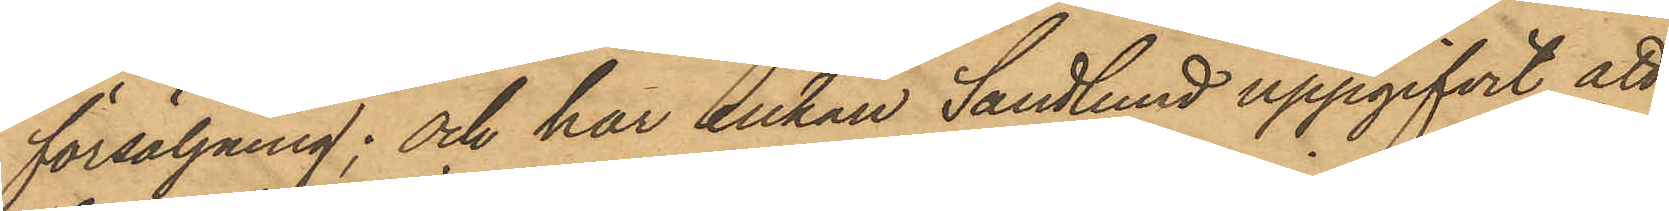försäljning; och har Enkan Sandlund uppgifvit, att
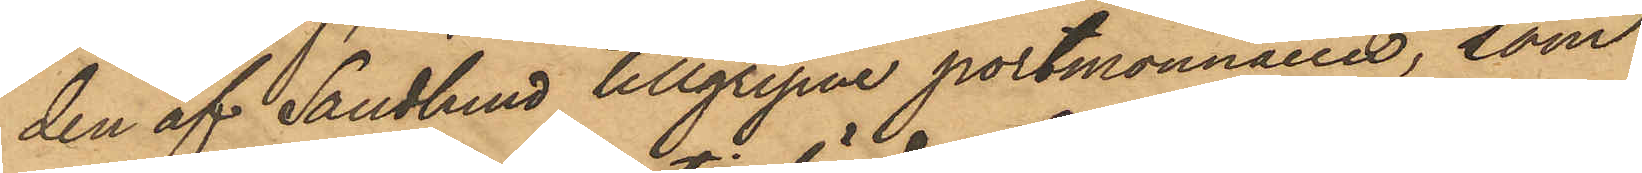den af Sandlund tillgripne portmonnaien, som
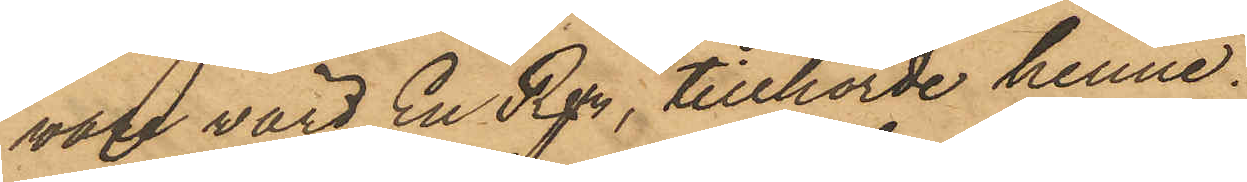var värd En Rdr, tillhörde henne.
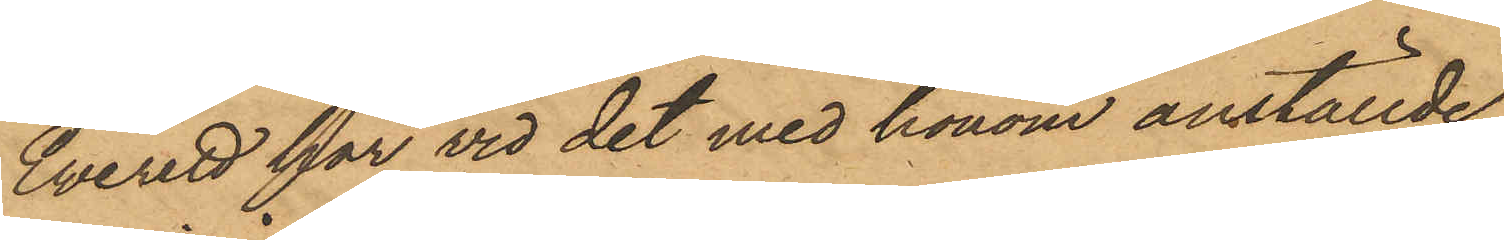Everett har vid det med honom anställde
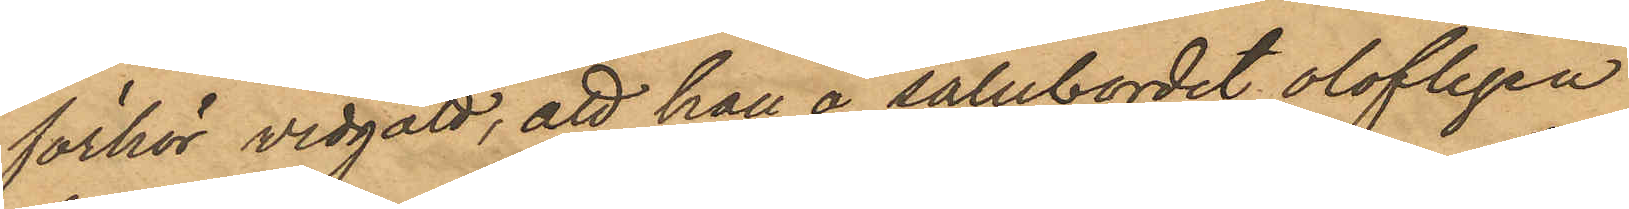förhör vidgått, att han å salubordet olofligen
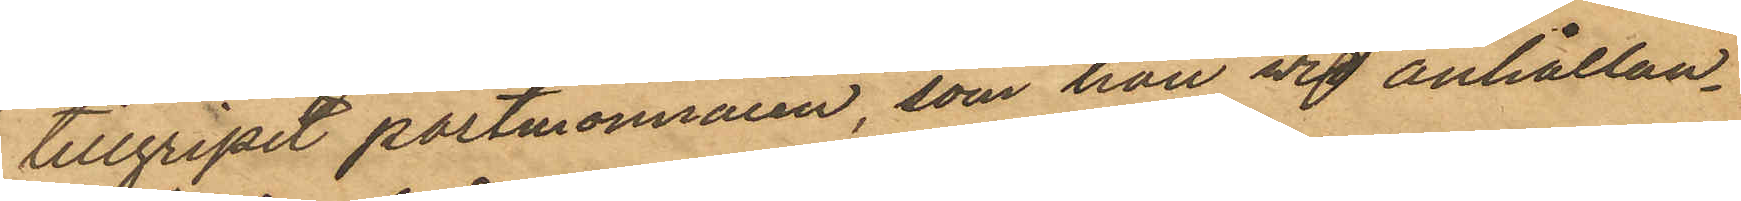tillgripit portmonnaien, som han vid anhållan¬
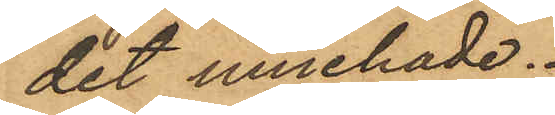det innehade.
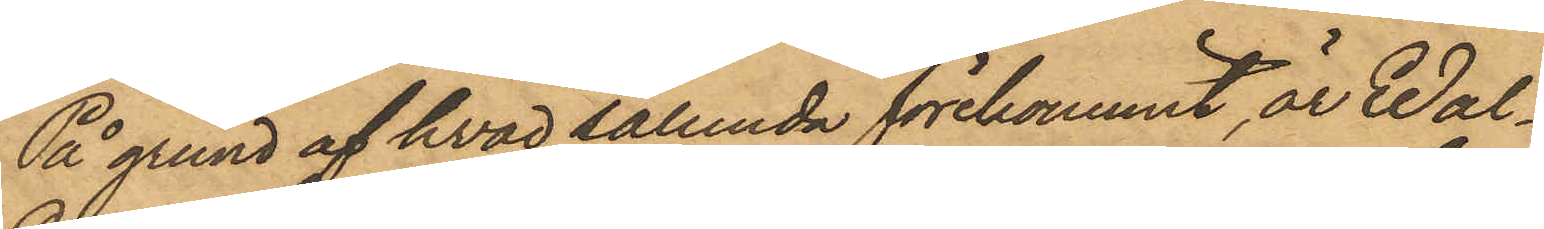På grund af hvad sålunda förekommit, är Wal¬
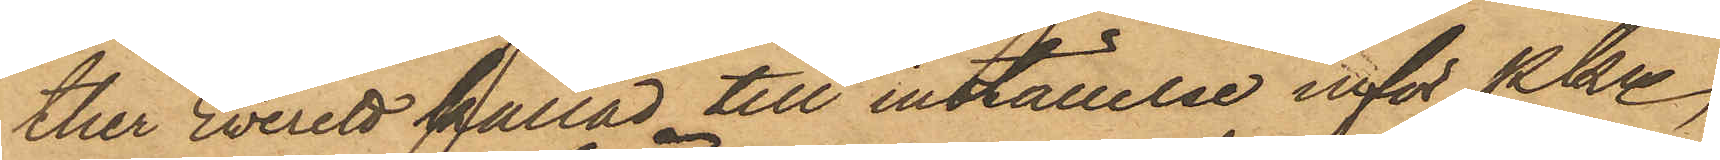ther Everett kallad till inställelse inför Pkn
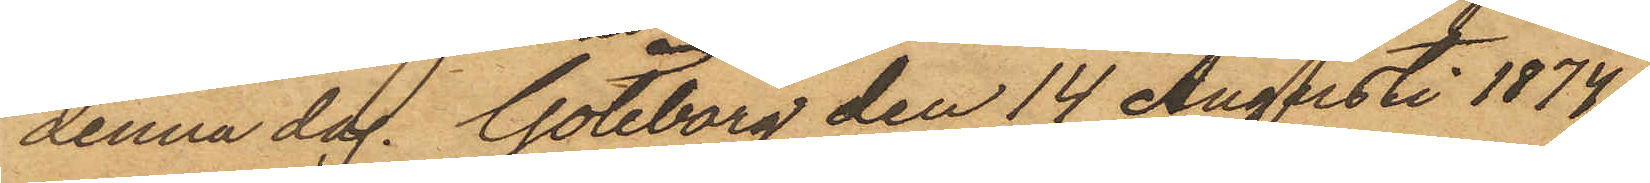denna dag. Göteborg den 14 Augusti 1874.
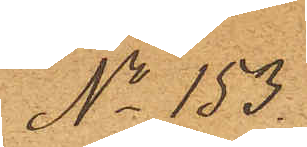No 153.
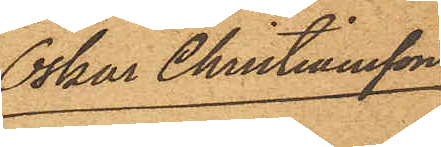Oskar Christiansson
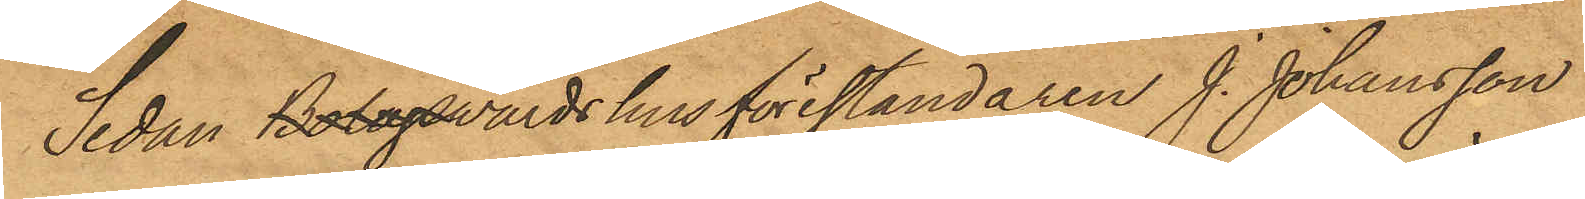Sedan BolagsWärdshusföreståndaren J. Johansson,
